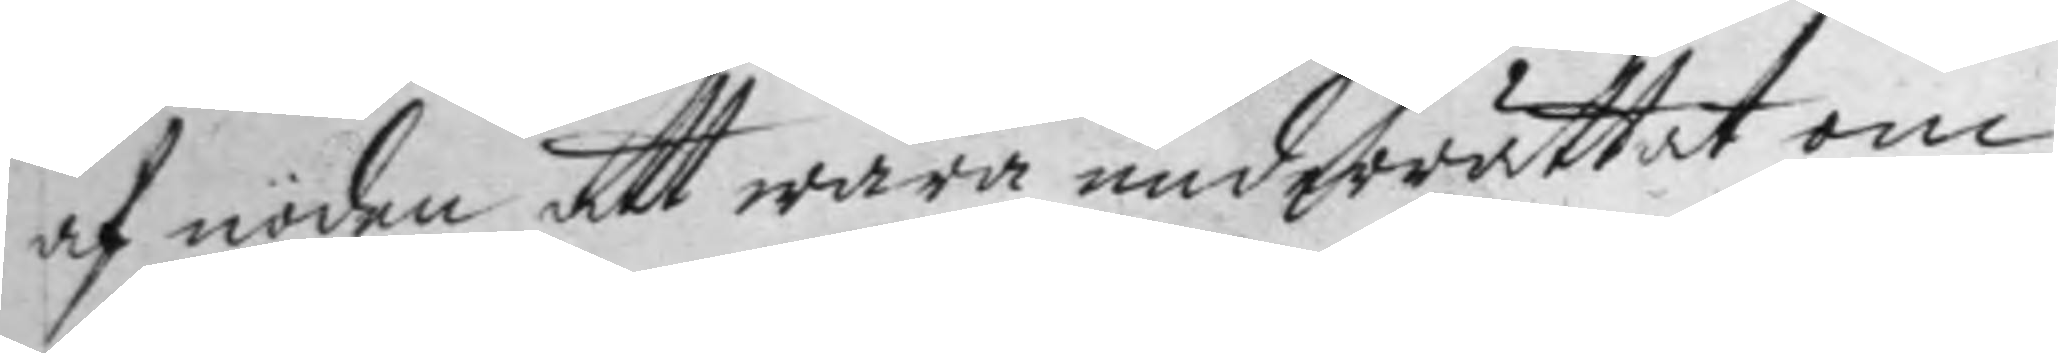af nöden att wara underrättat om
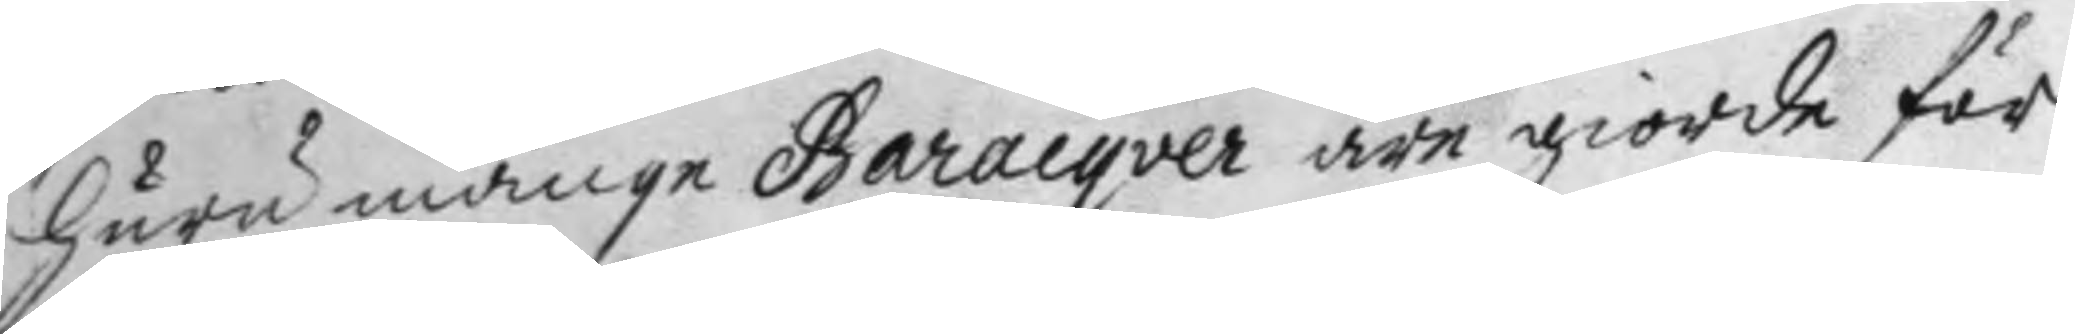huru månge Baracqver äre giorde för
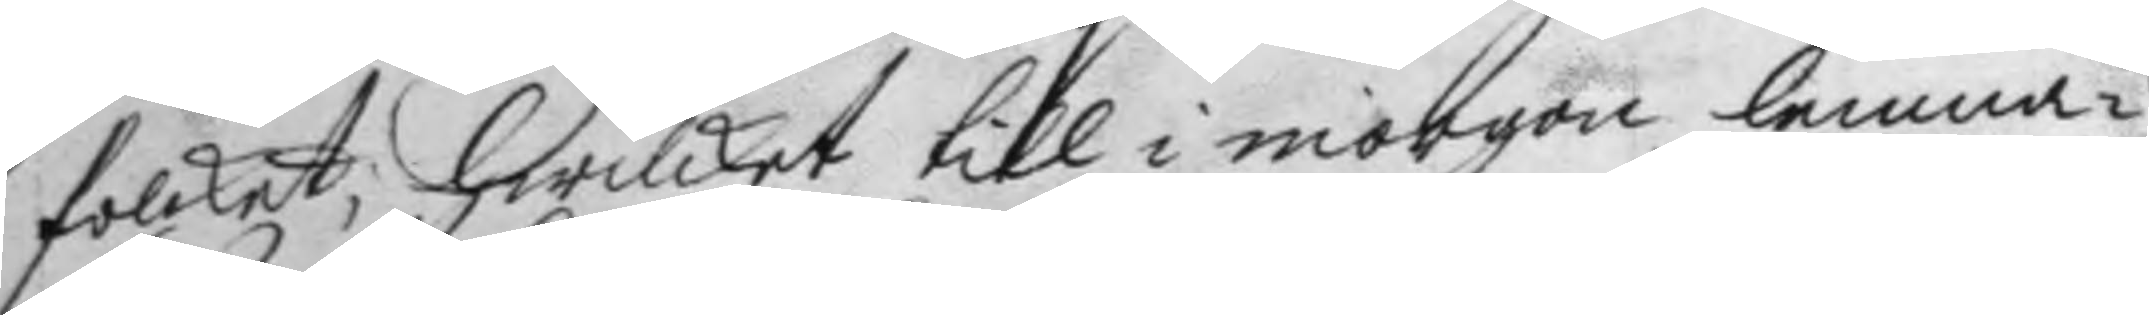folcket; hwilket till i morgon lemna¬
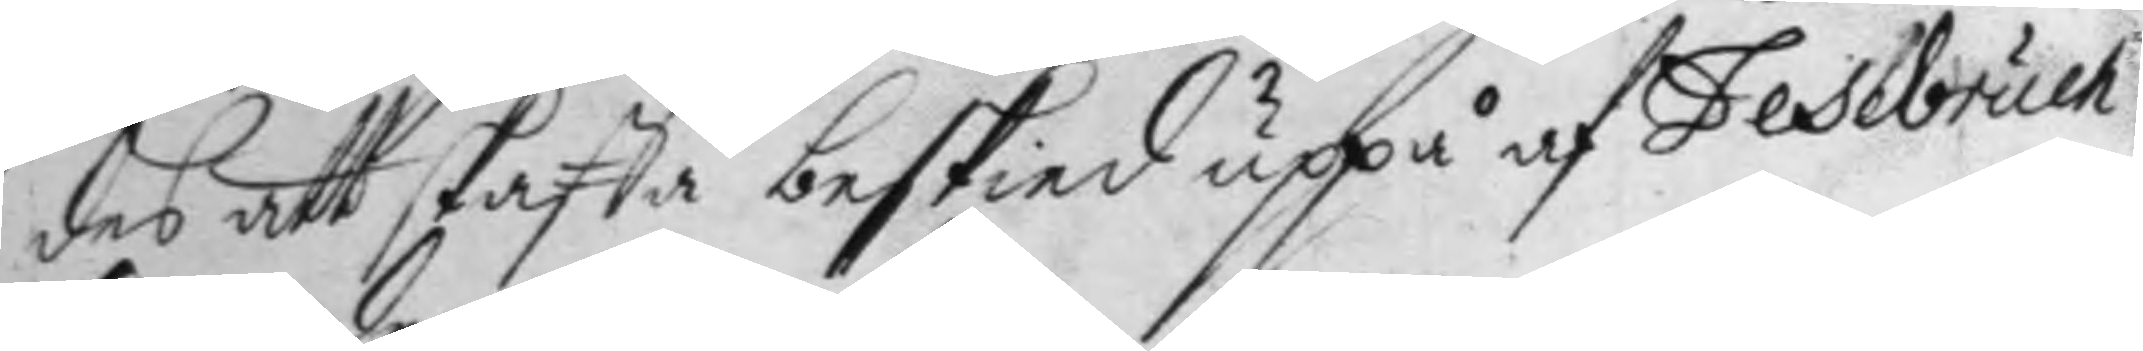des att skaffa beskied uppå af Fesebruch
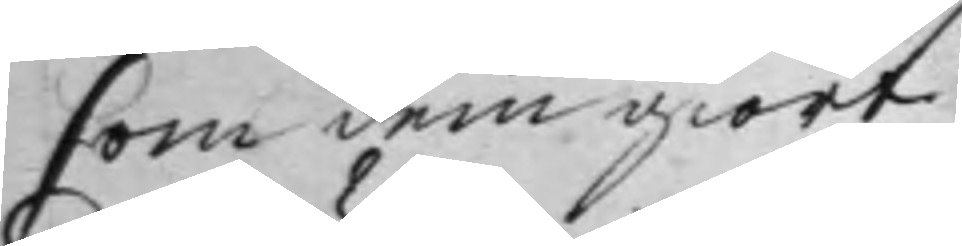som dem giort.
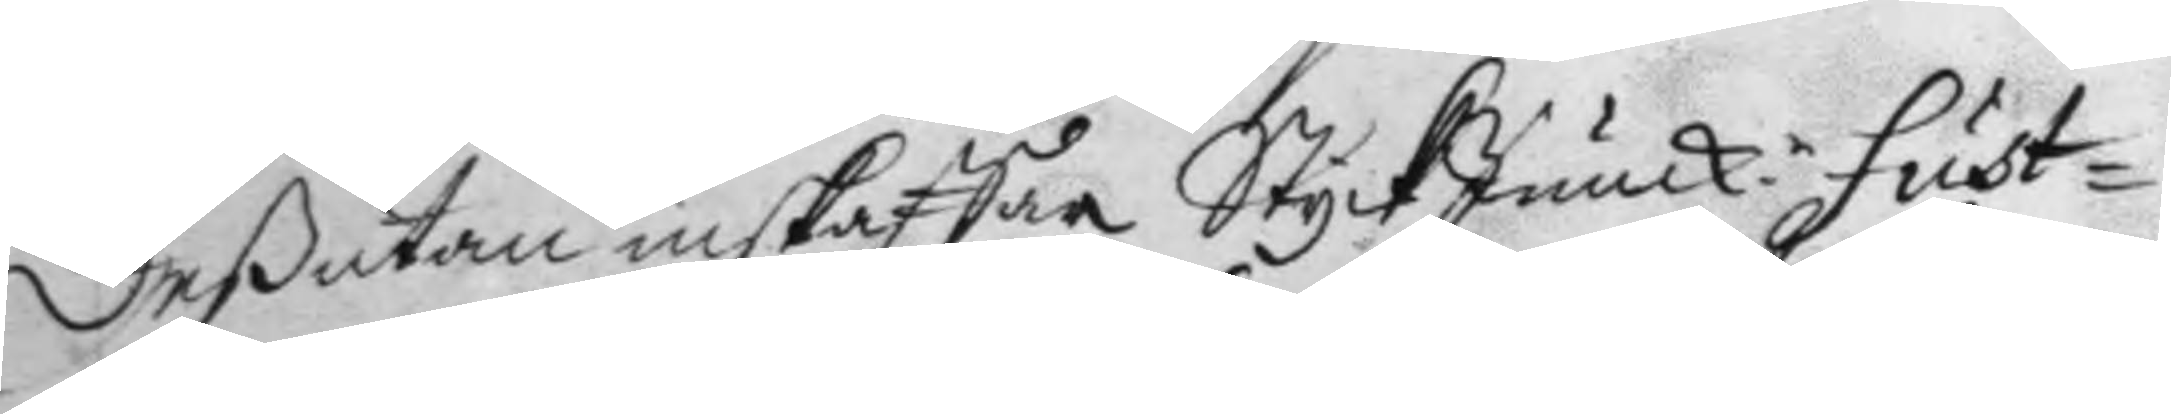Deßutan inskaffar StyckJunckr fust¬ 
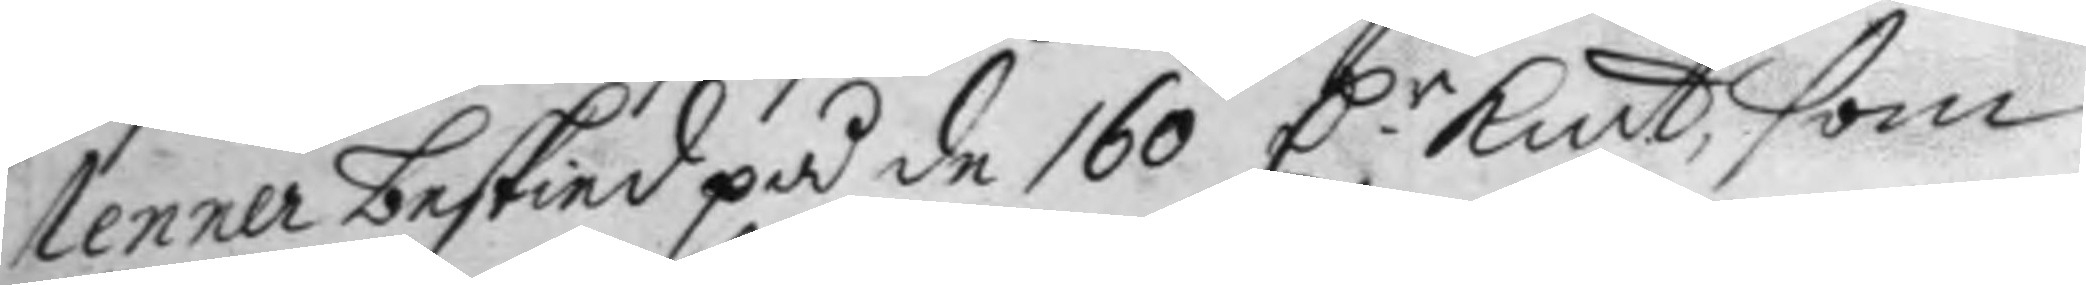lenner beskied på de 160 D.r Kmt, som 
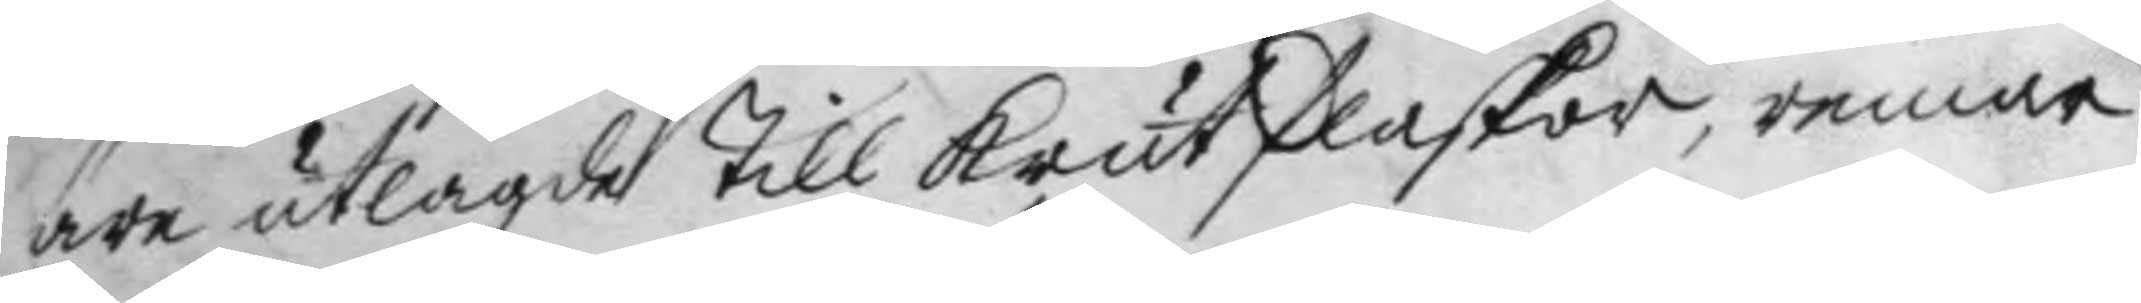äre utlagde till krutflaskor, remar
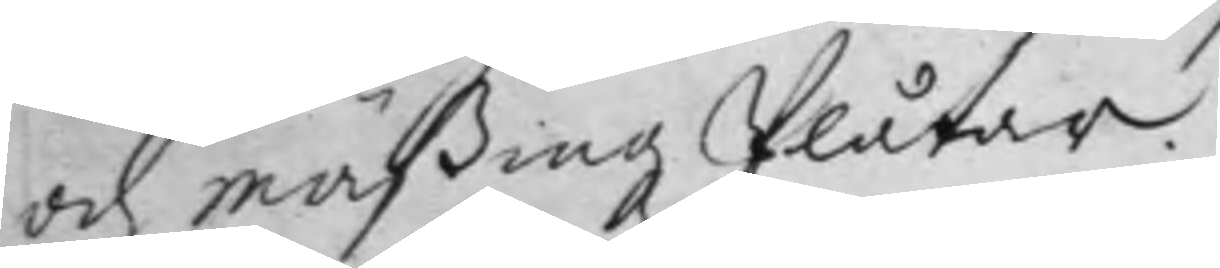och mäßing Plåtar.
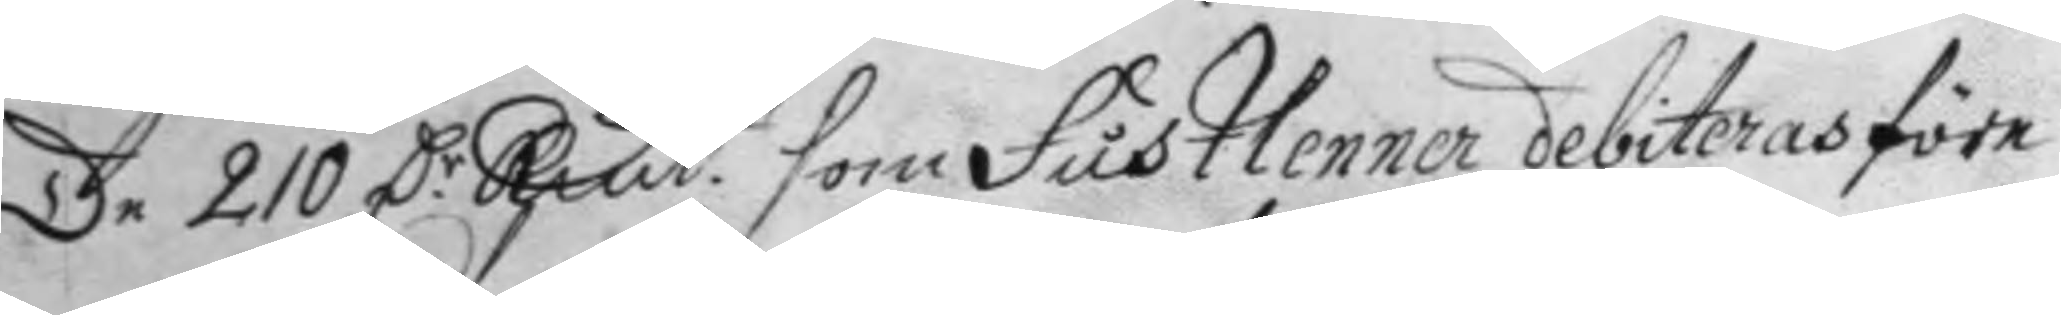De 210 D:r Kmt. som fustlenner debiteras före 
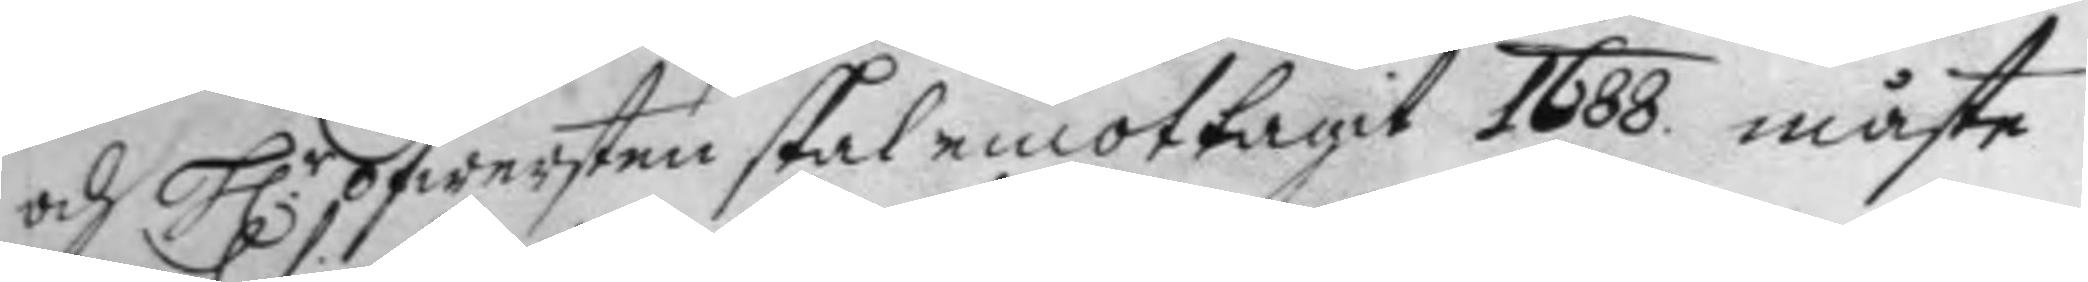och H.r öfwersten skal emottagit 1688 måste 
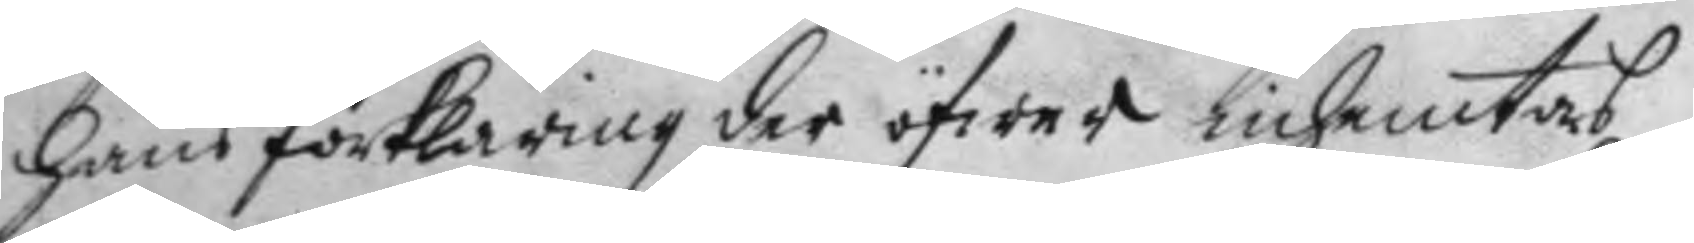hans förklaring der öfwer inhemtas
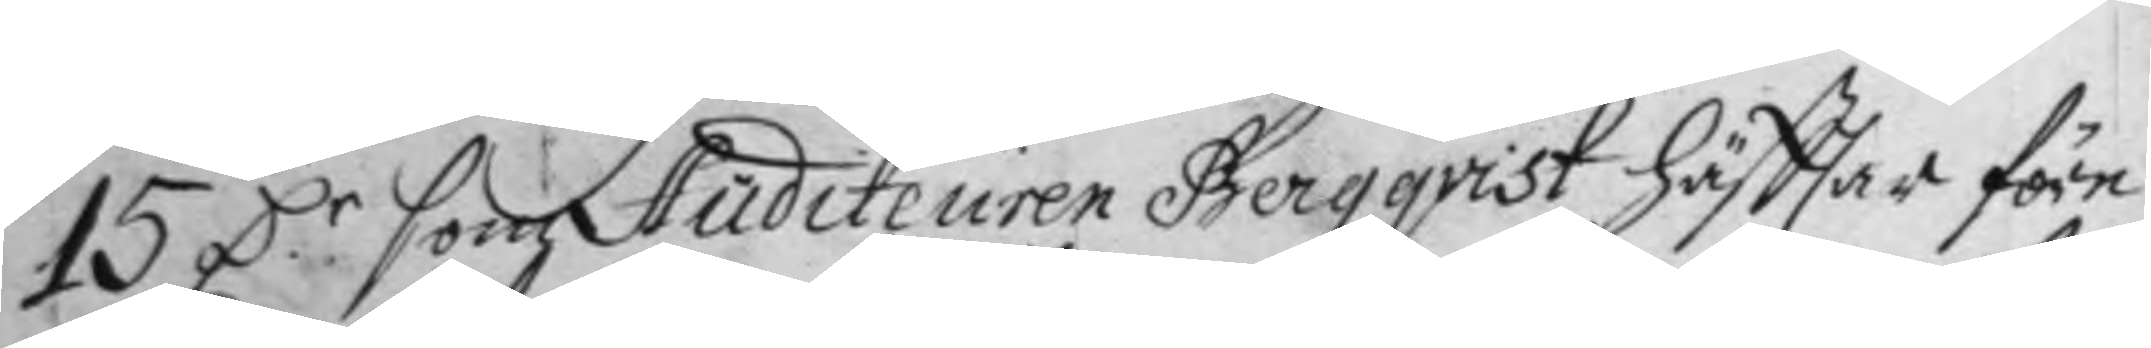15 D:r som Auditeuren Bergqvist häfttar före 
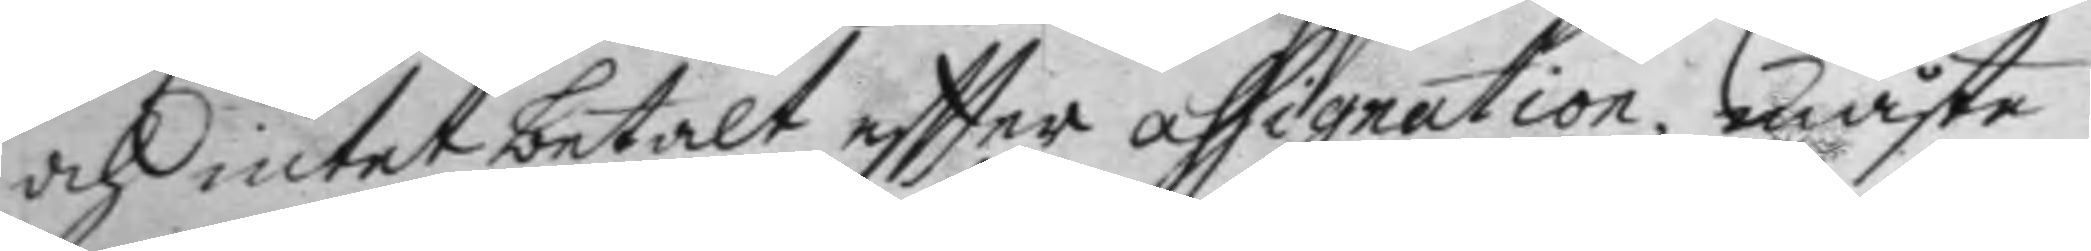och intet betalt eftter assignation, måste
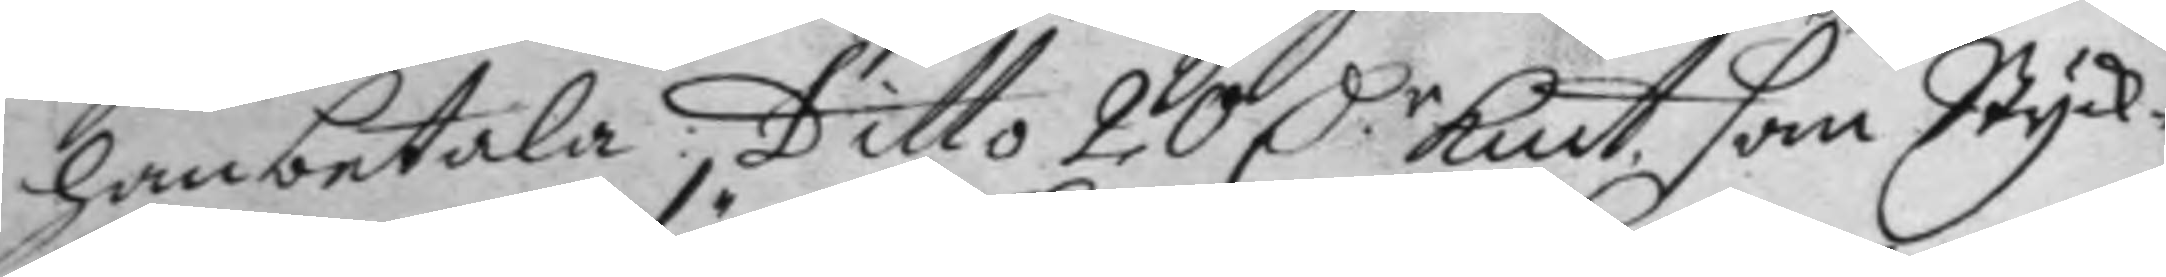han betala; Ditto 20 Dr Kmt. son Styck¬ 
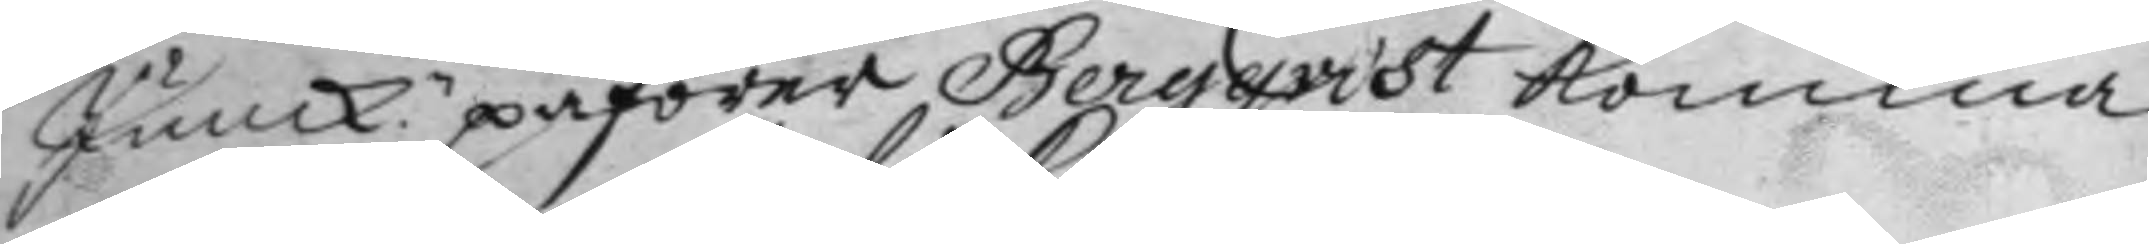Junk.n påförer Bergqvist komma
